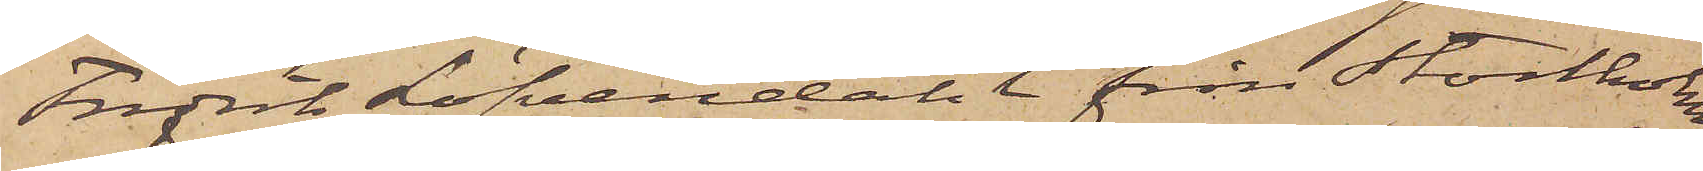Fredrik Löfvendahl från Stockholm,
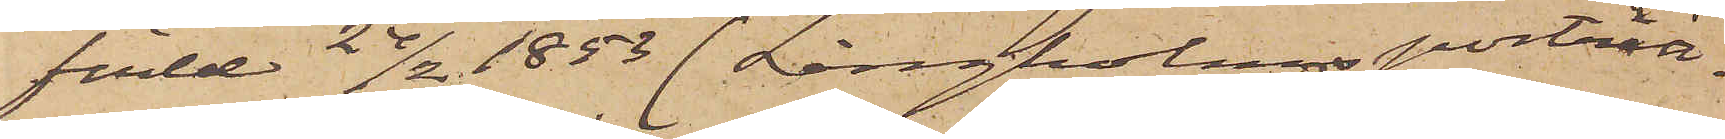född 24/2 1853 (Långholms porträtt¬
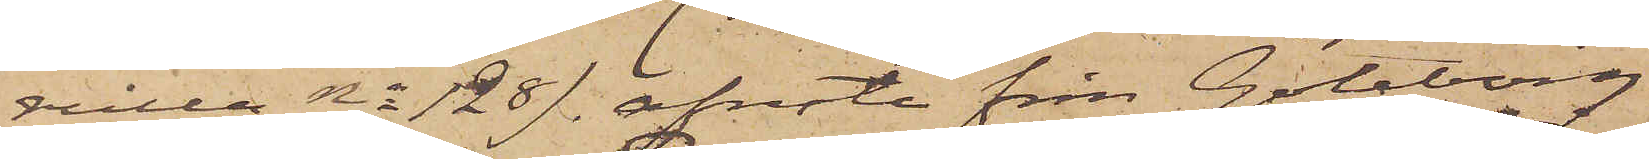rulla No 128), afreste från Göteborg
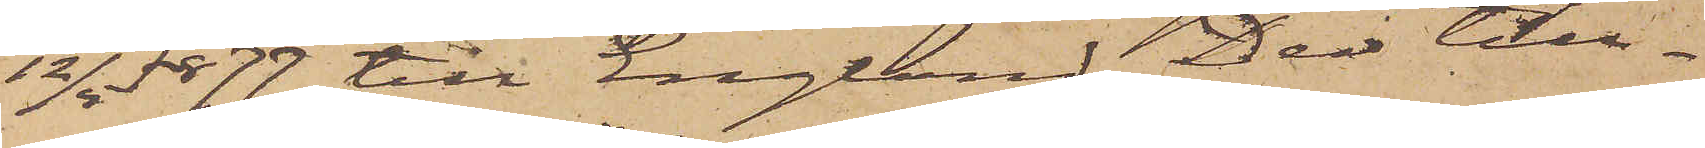12/4 1877 till England. Der till¬
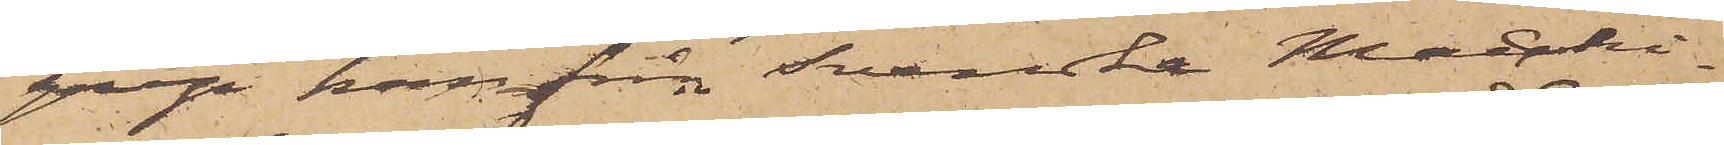grep han från Svenska Maschi¬
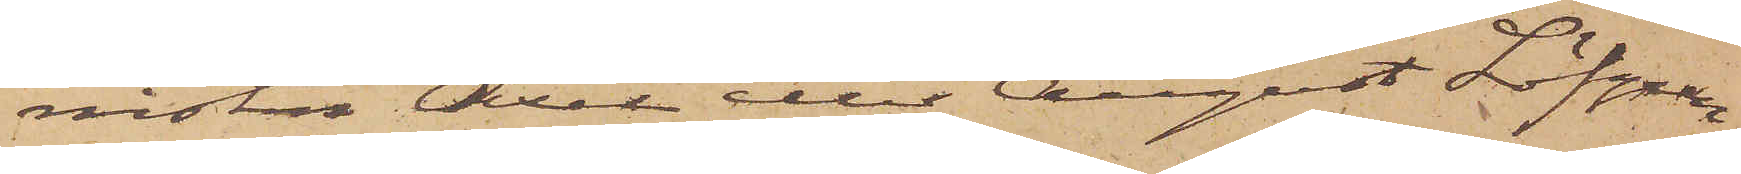nisten Axel eller August Löfgren
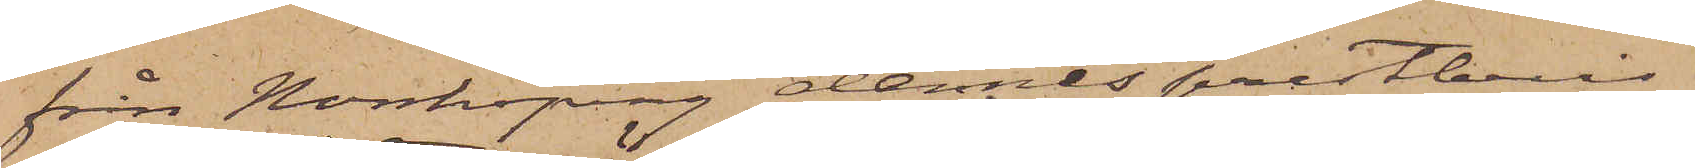från Norrköping dennes prestbevis
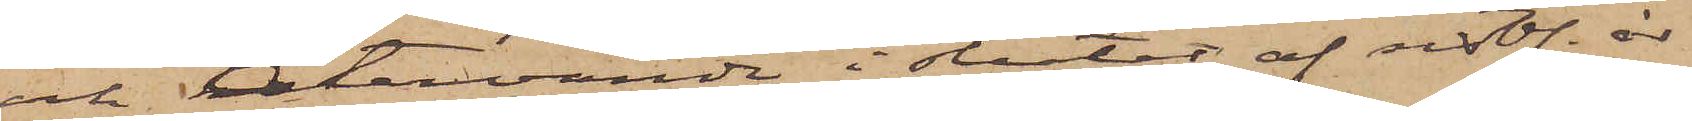och återvände i slutet af sistl. år
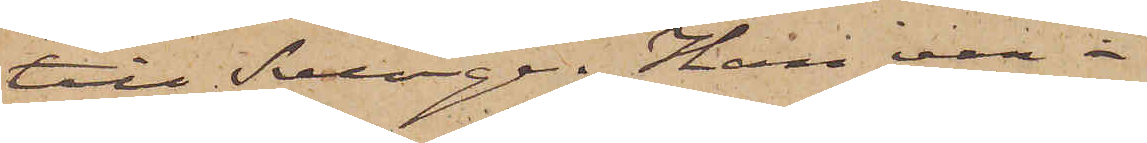till Sverige. Han var i
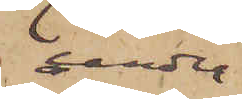under
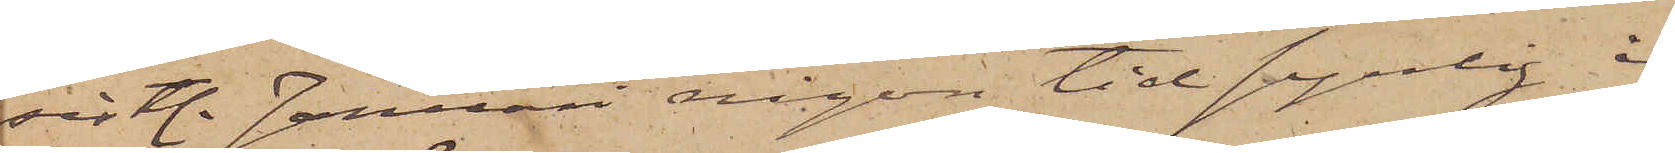sistl. Januari någon tid synlig i
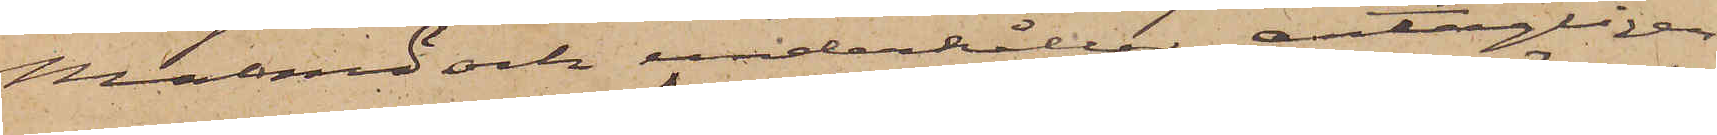Malmö och underhåller antagligen
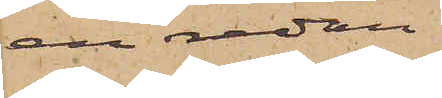en redan
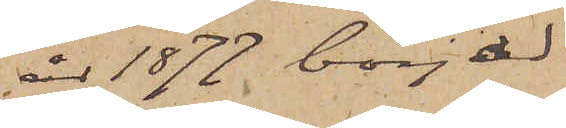år 1877 börjad
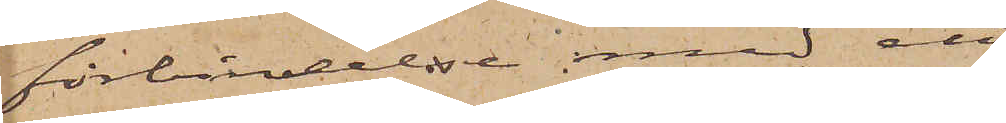förbindelse med ett
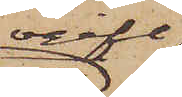ogift
